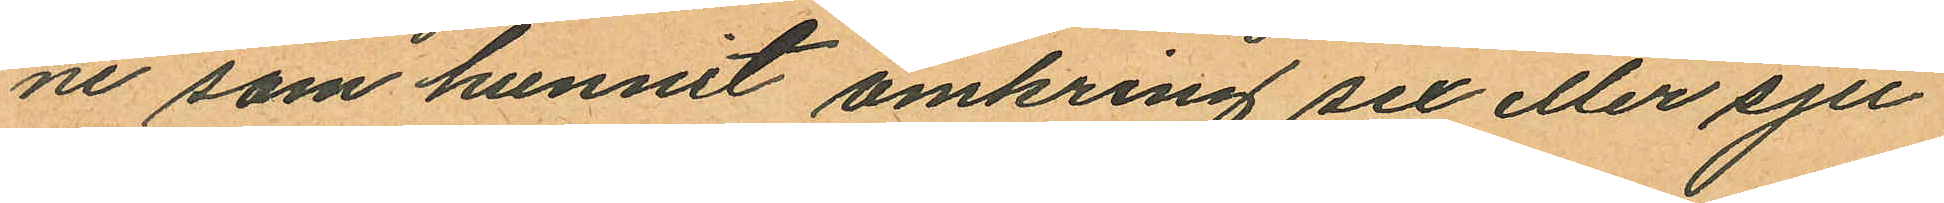ne som hunnit omkring sex eller sju
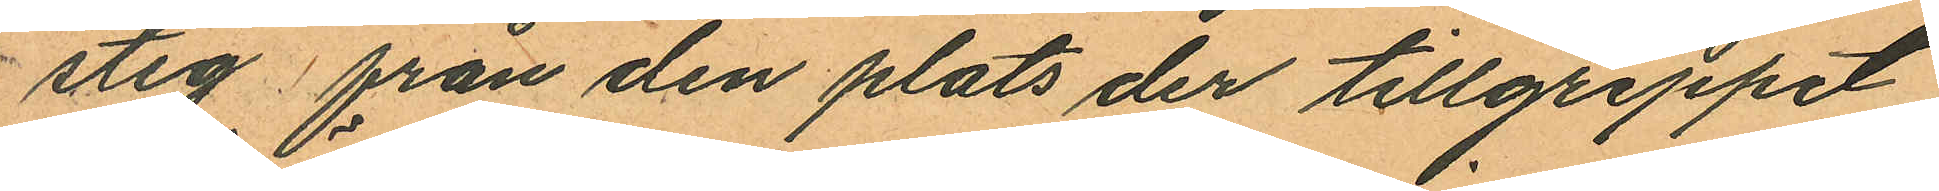steg från den plats der tillgreppet
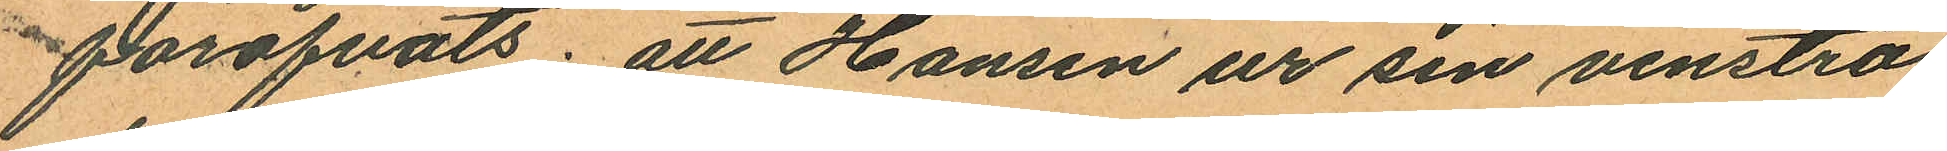föröfvats; att Hansen ur sin venstra
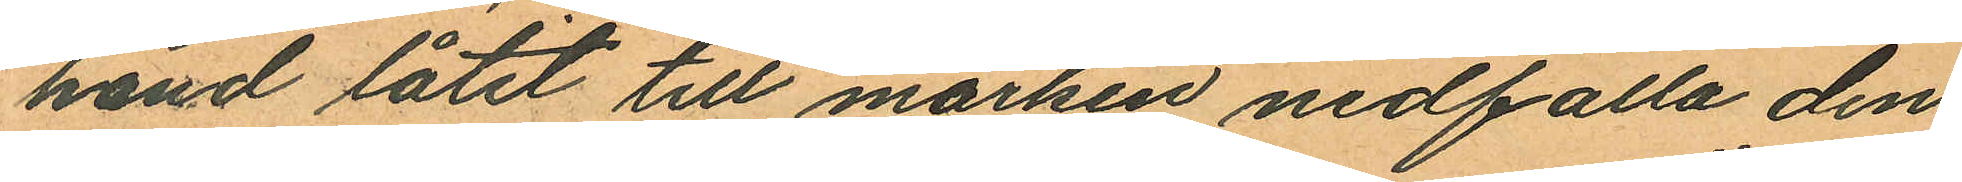hand låtit till marken nedfalla den
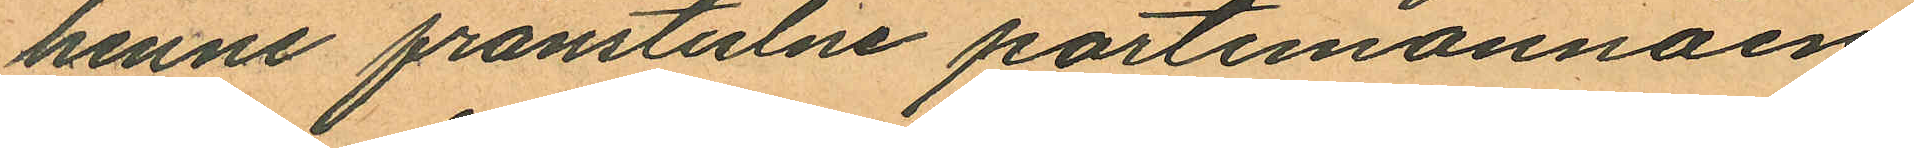henne frånstulne portemonnäen
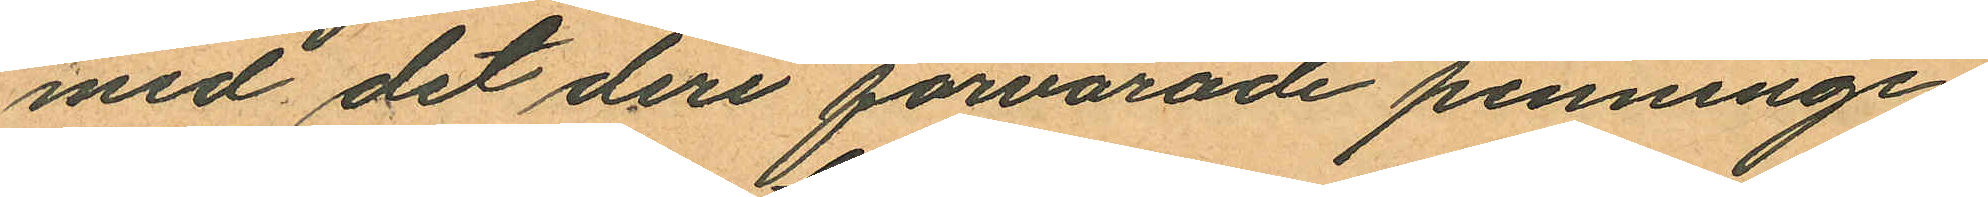med det deri förvarade penninge¬
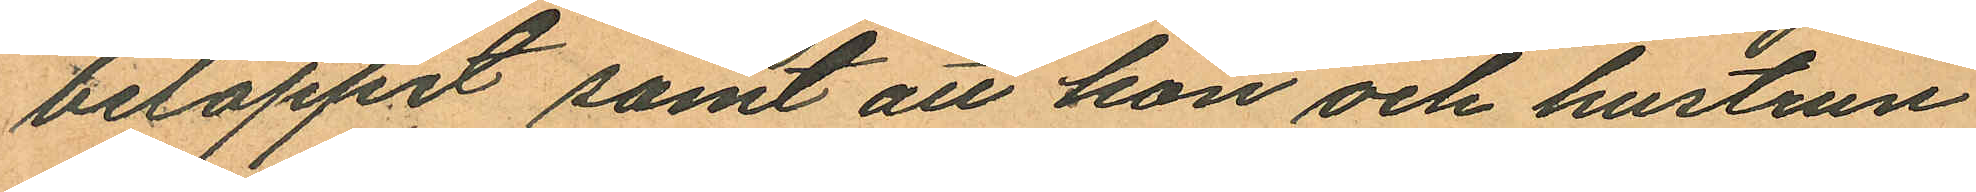beloppet samt att hon och hustrun
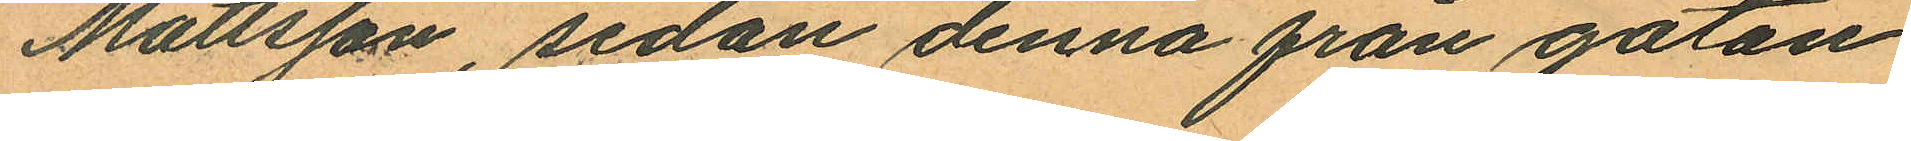Mattsson, sedan denna från gatan
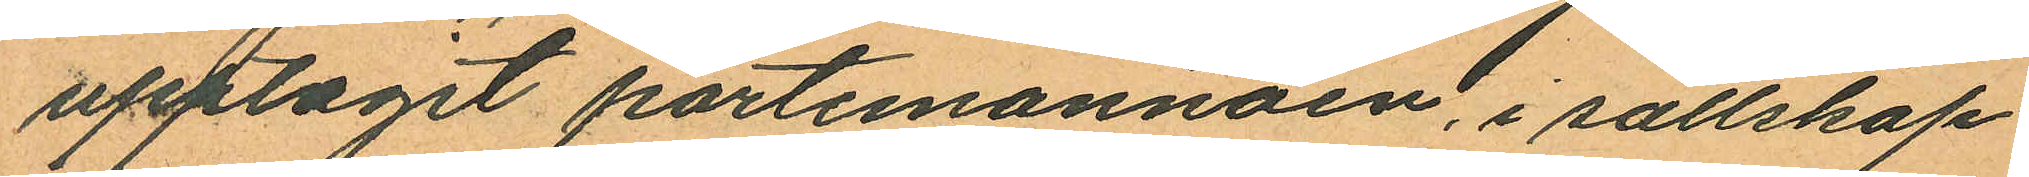upptagit portemonnäen, i sällskap
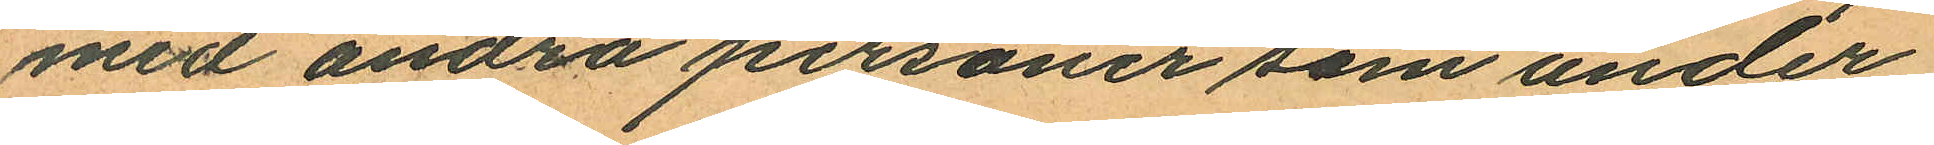med andra personer som under
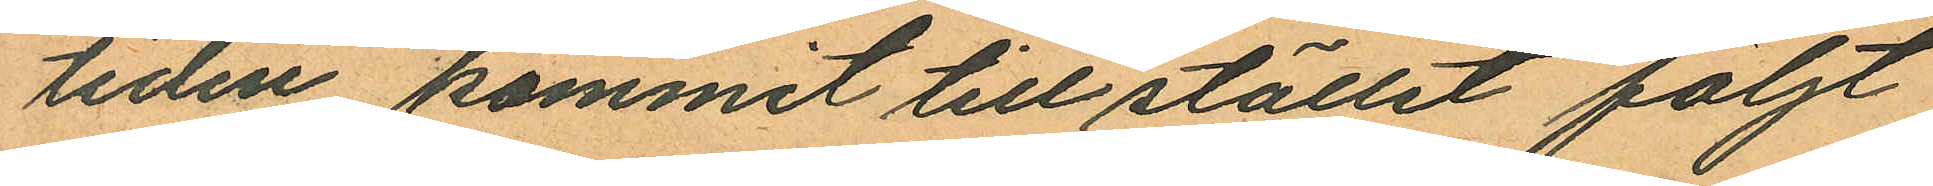tiden kommit till stället följt
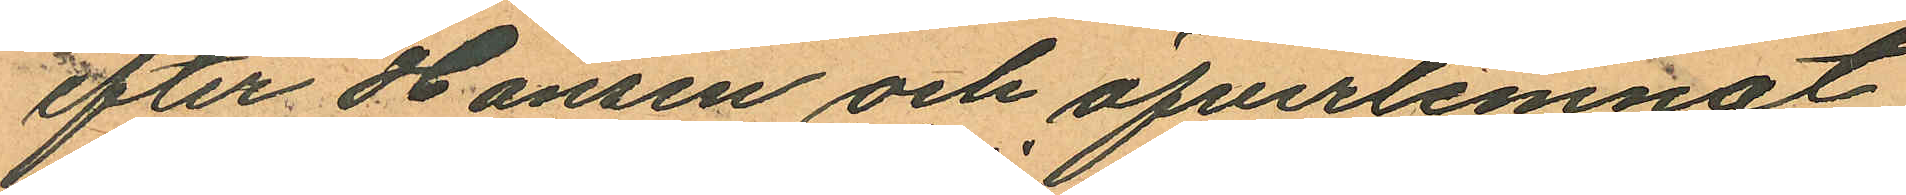efter Hansen och öfverlemnat
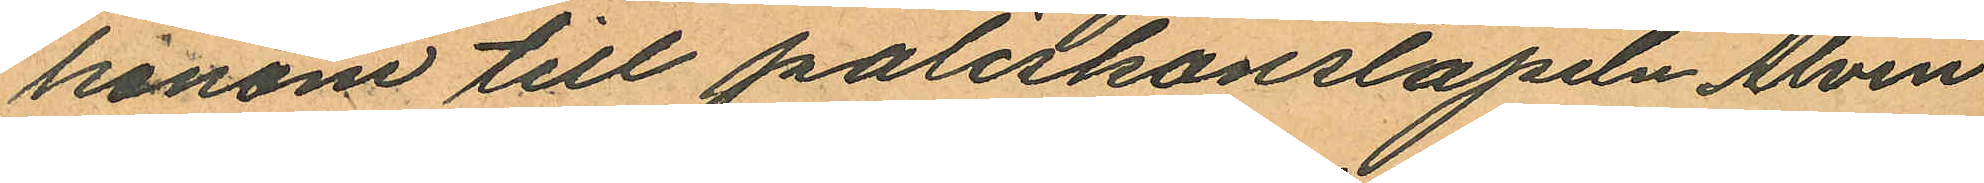honom till poliskonstapeln Alvin
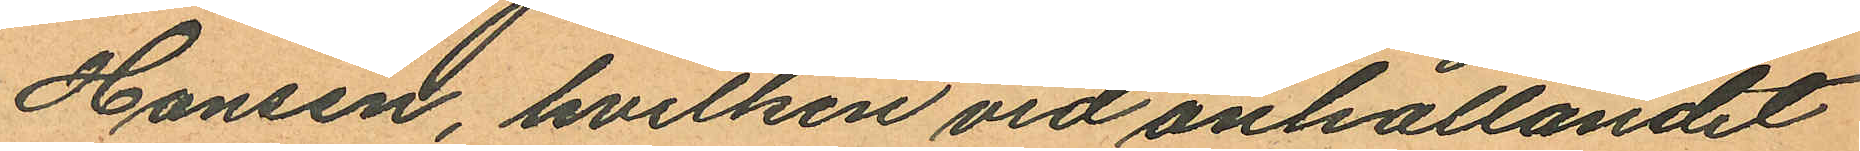Hansen, hvilken vid anhållandet
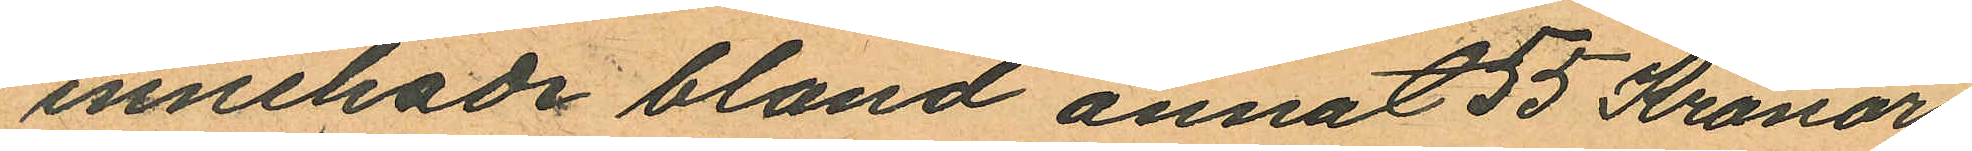innehade bland annat 55 Kronor
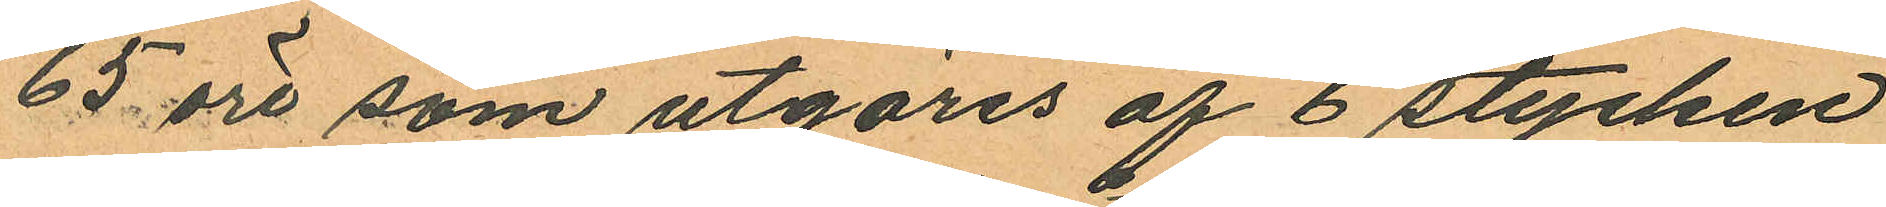65 öre som utgöres af 6 stycken
